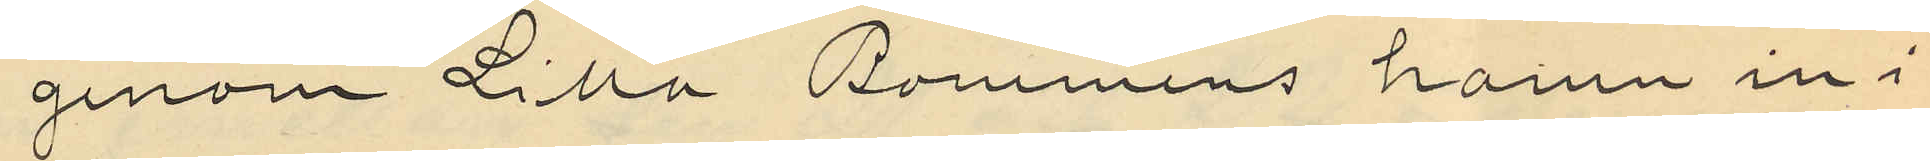genom Lilla Bommens hamn in i
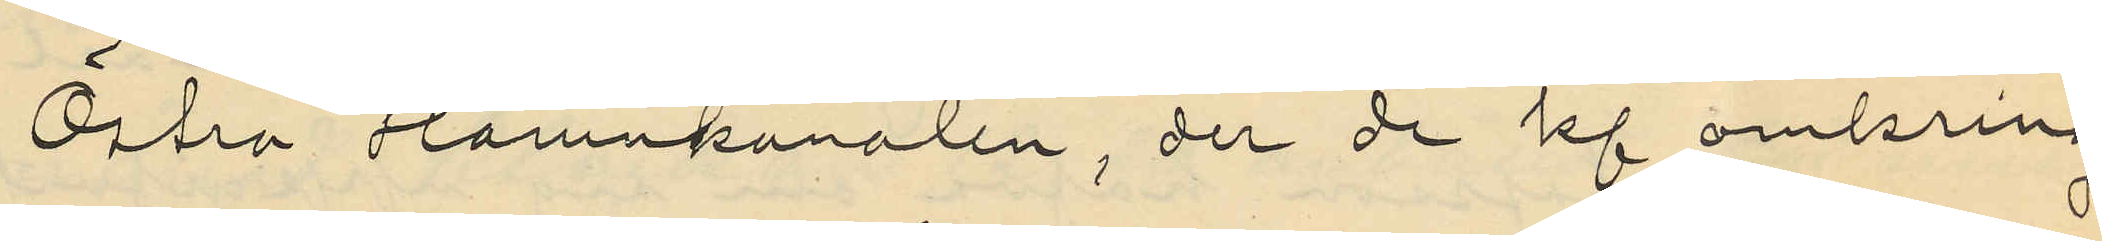Östra Hamnkanalen, der de kl omkring
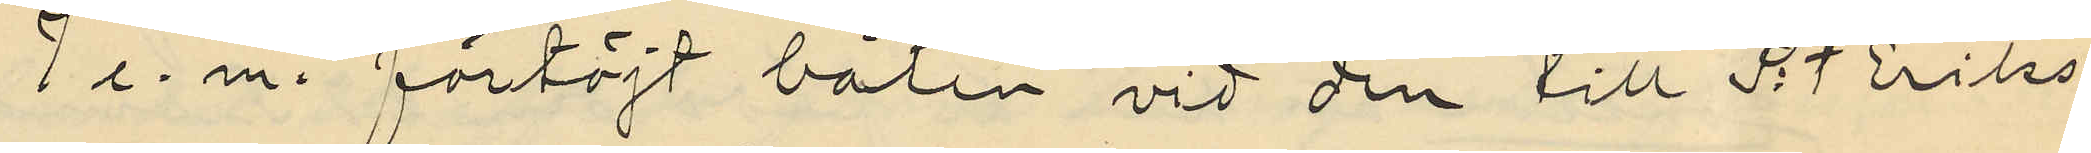2 e. m. förtöjt båten vid den till S:t Eriks
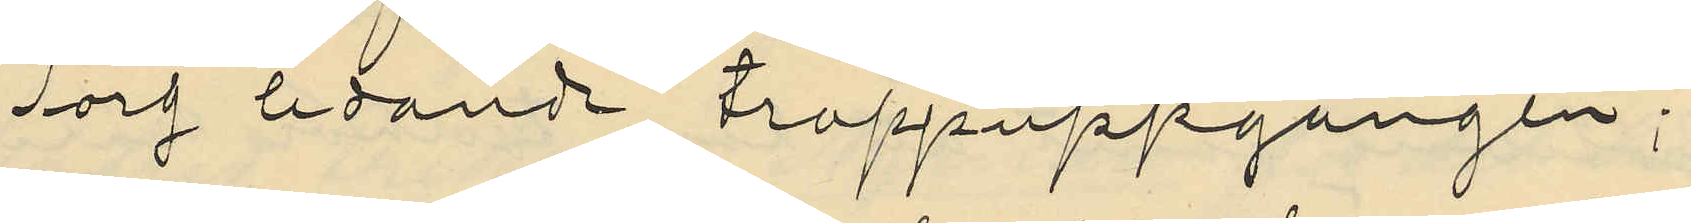Torg ledande trappuppgången;
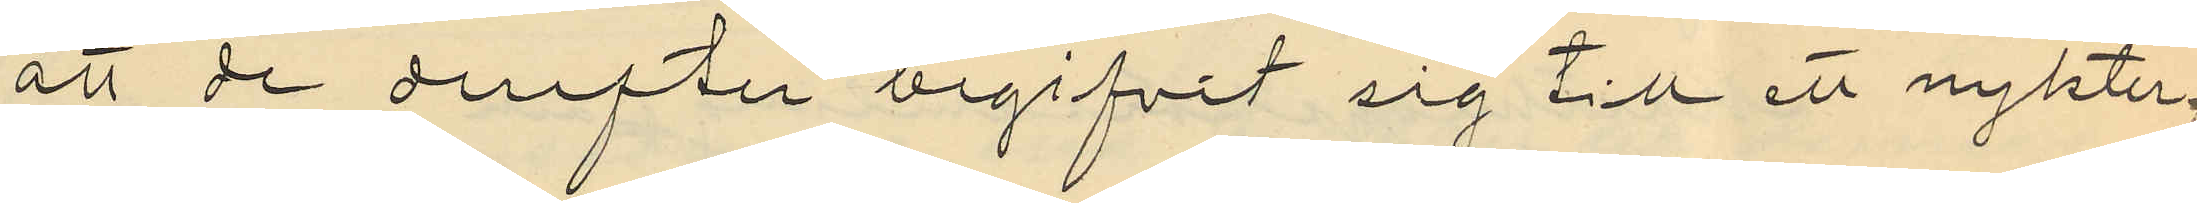att de derefter begifvit sig till ett nykter¬
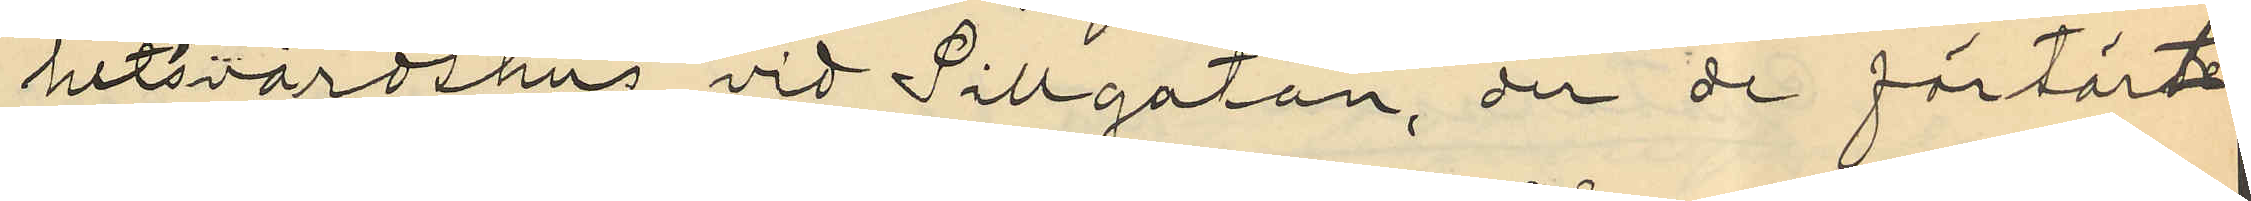hetsvärdshus vid Sillgatan, der de förtärt
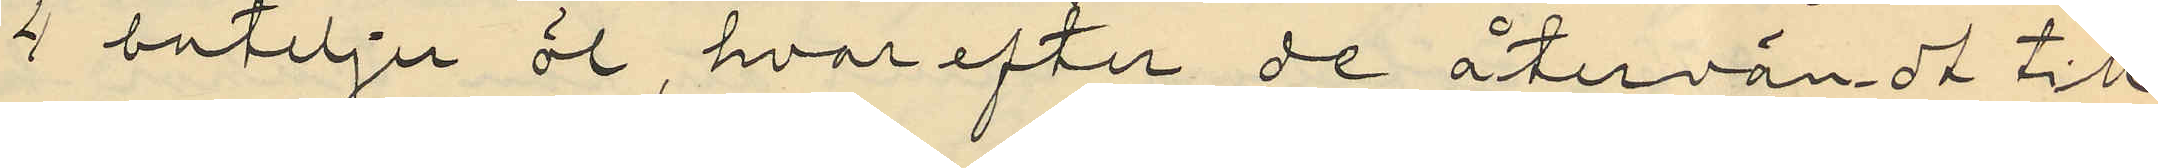4 buteljer öl, hvarefter de återvändt till
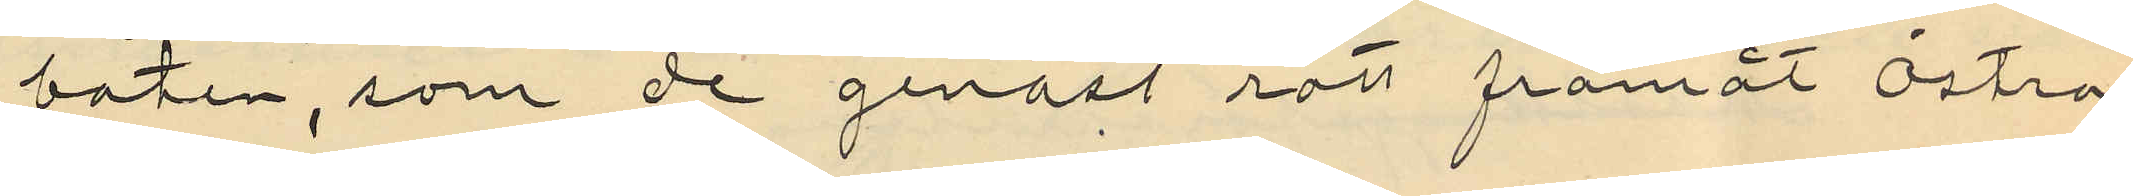båten, som de genast rott framåt Östra
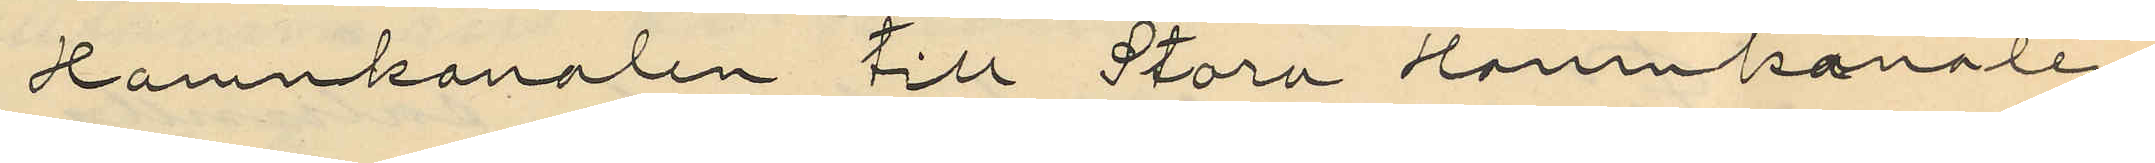Hamnkanalen till Stora Hamnkanalen
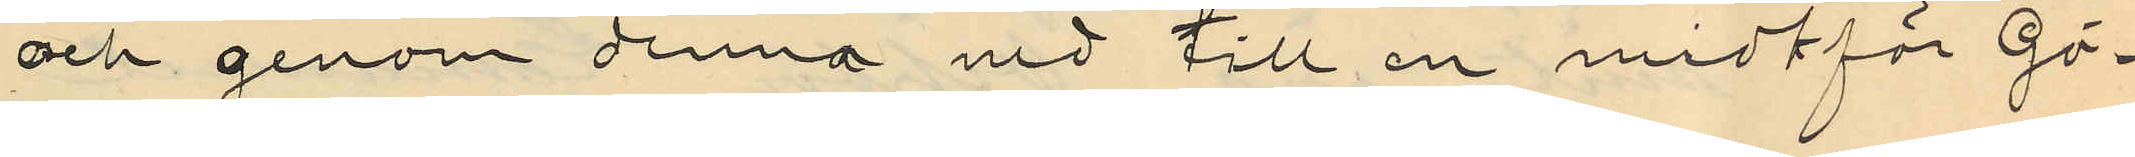och genom denna vid till en midtför Gö¬
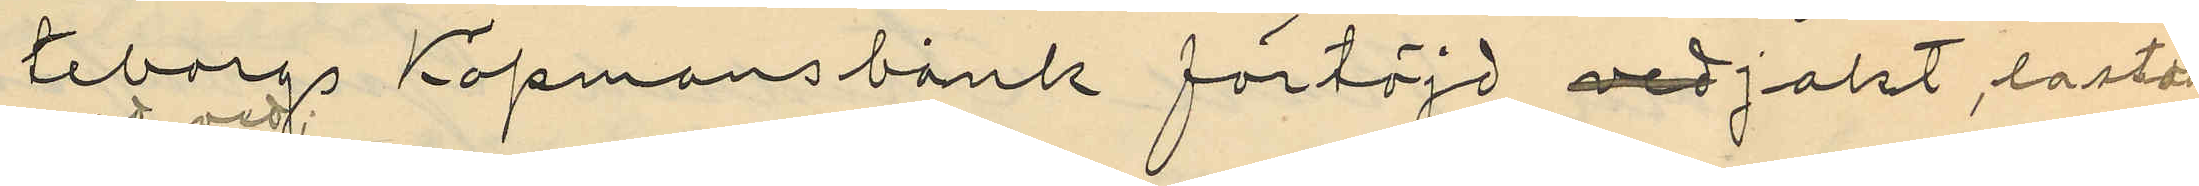teborgs Köpmansbank förtöjd vedjakt, lastad
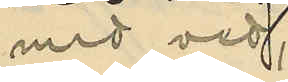med ved;
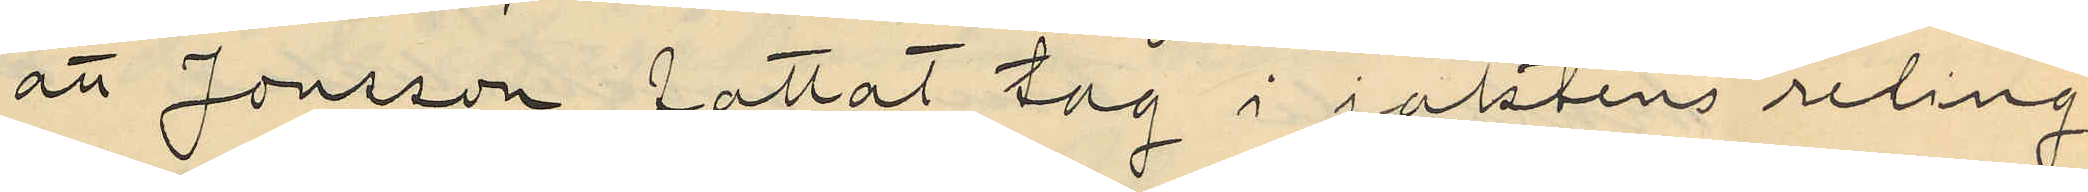att Jonsson fattat tag i jaktens reling
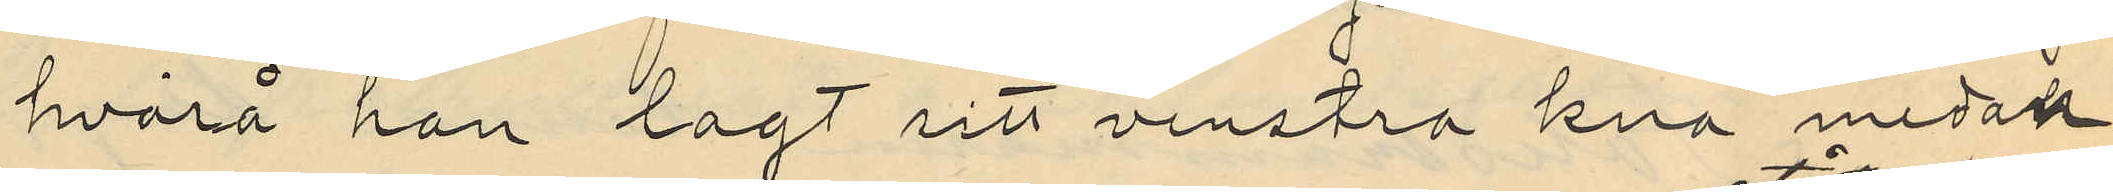hvarpå han lagt sitt venstra knä medan
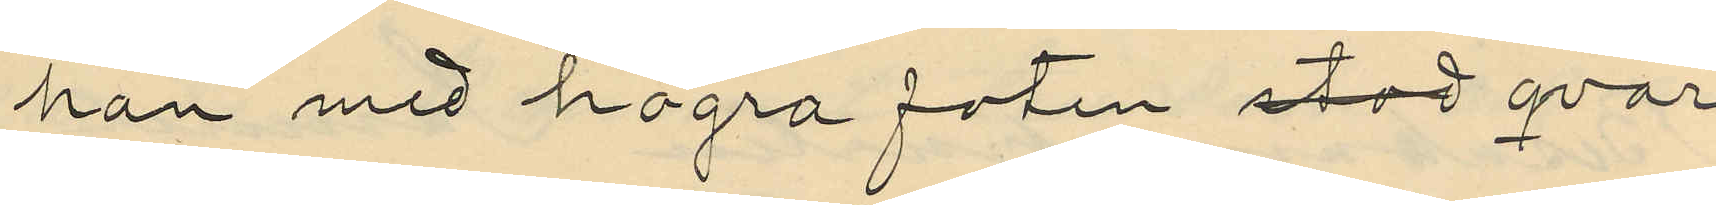han med högra foten stod qvar¬
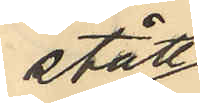stått
